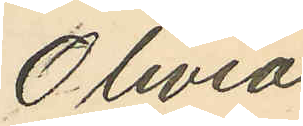Olivia
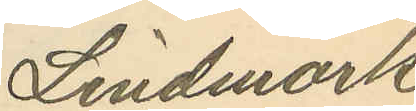Lindmark
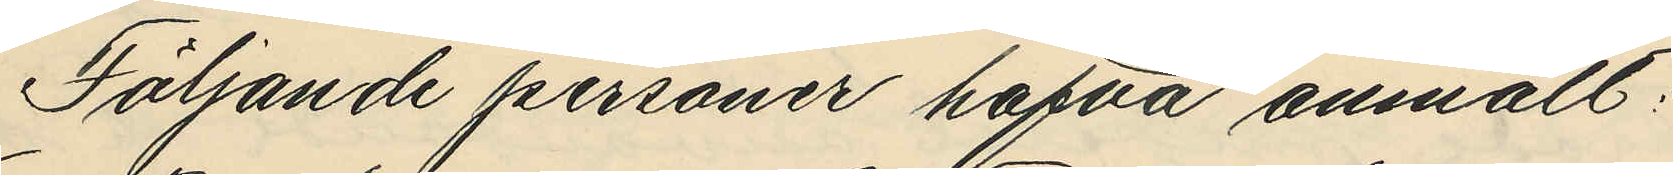Följande personer hafva anmält:
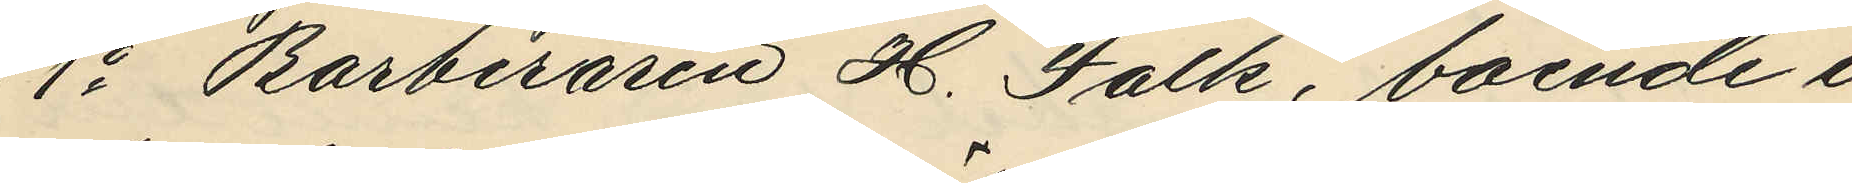1o Barberaren H. Falk, boende i
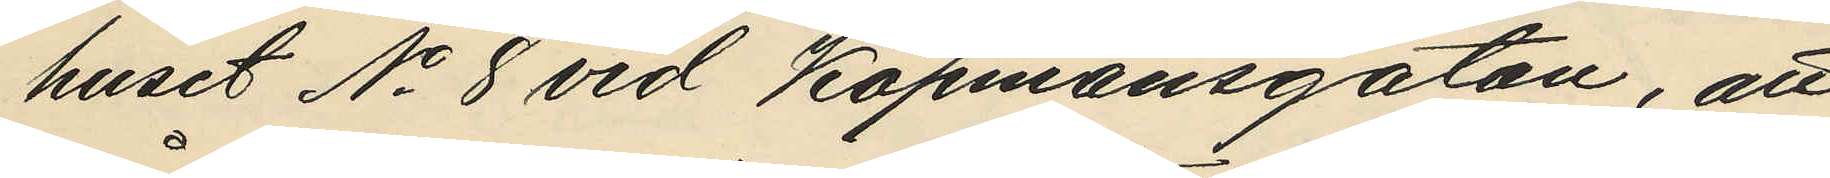huset No 8 vid Köpmansgatan, att
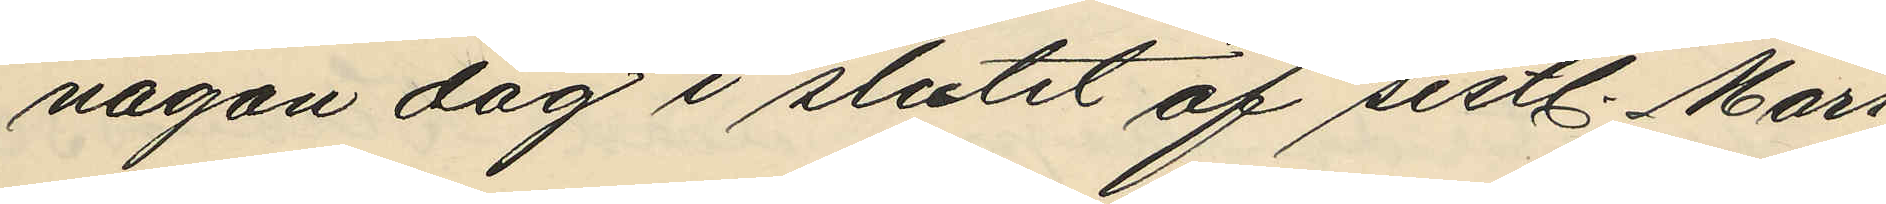någon dag i slutet af sistl. Mars
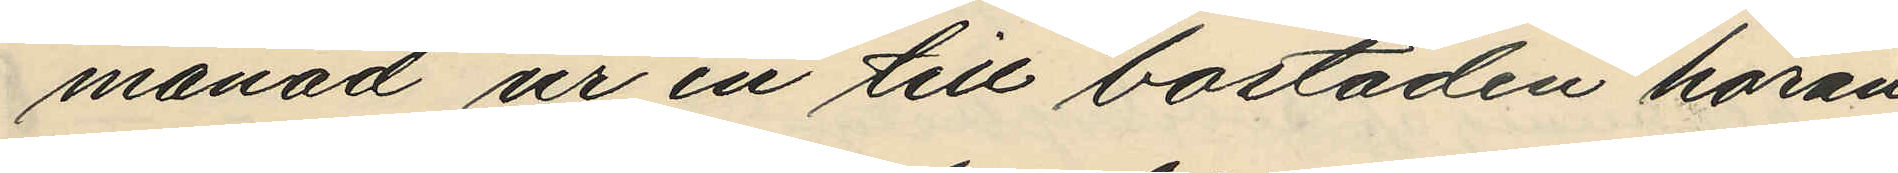månad ur en till bostaden höran¬
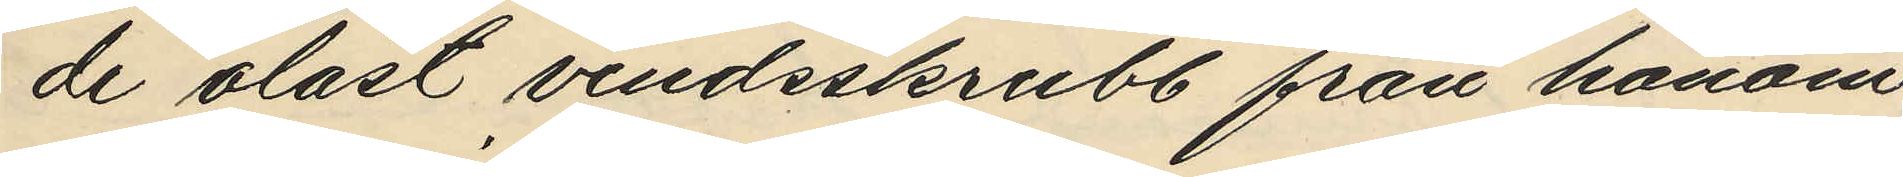de olåst vindsskrubb från honom
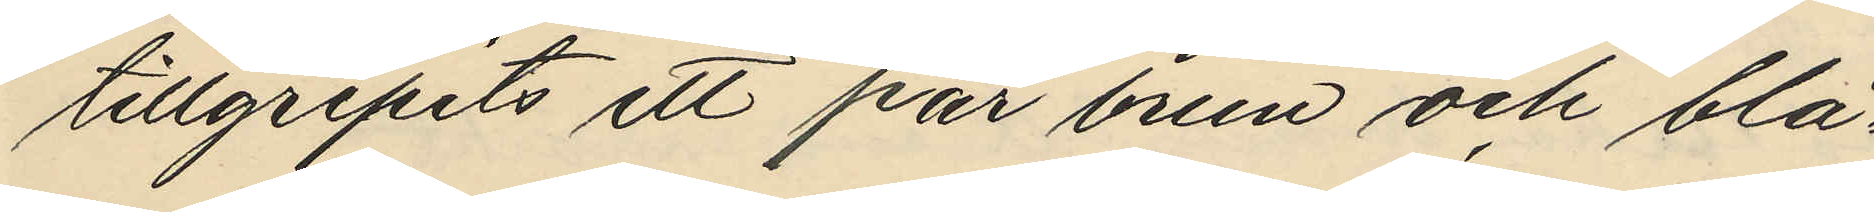tillgripits ett par brun och blå¬
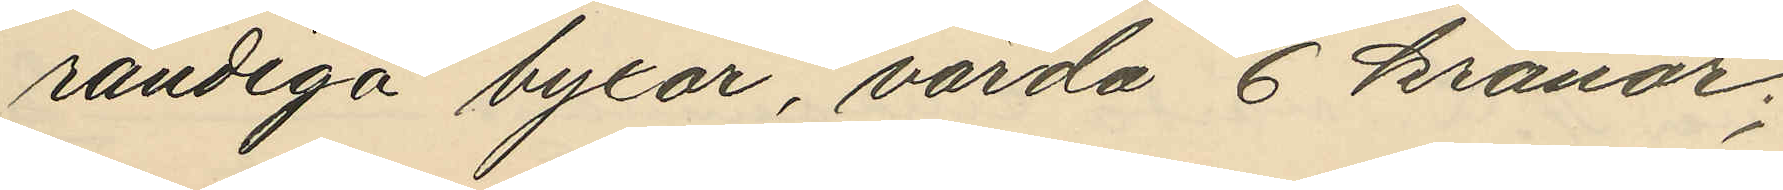randiga byxor, värda 6 kronor;
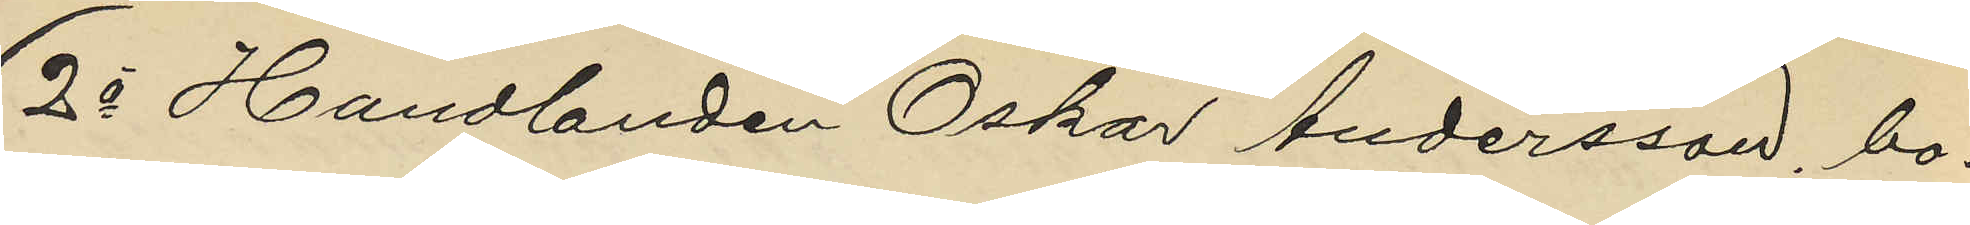2o Handlanden Oskar Andersson, bo¬
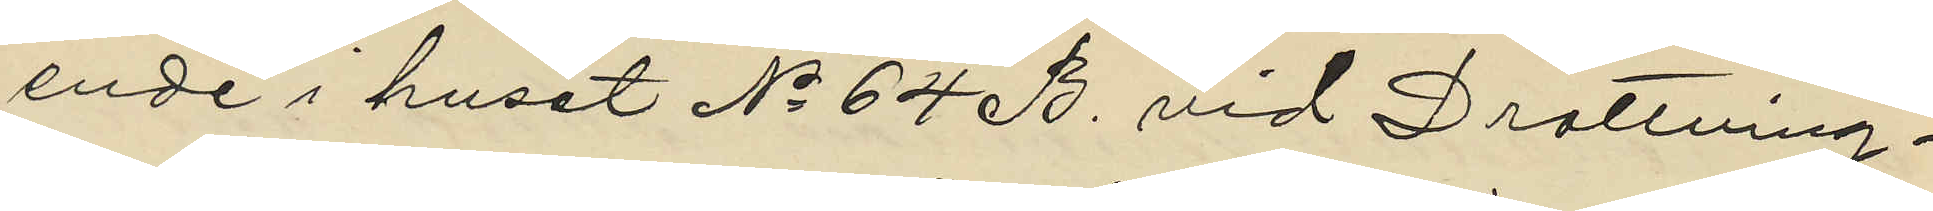ende i huset No 64 B. vid Drottning¬
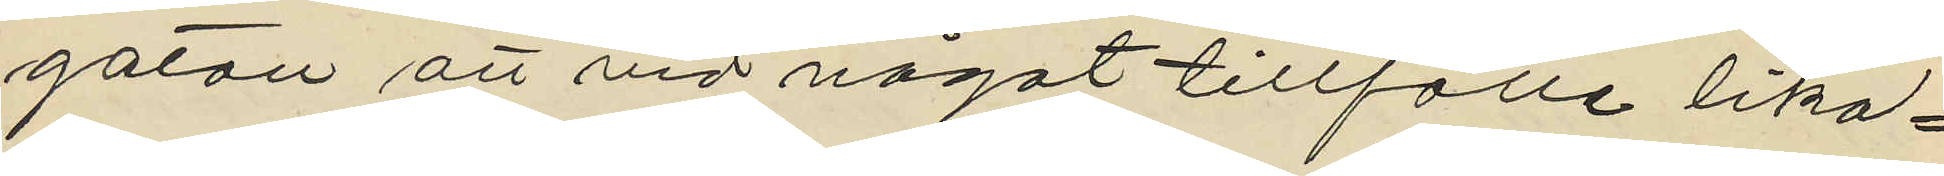gatan att vid något tillfälle lika¬
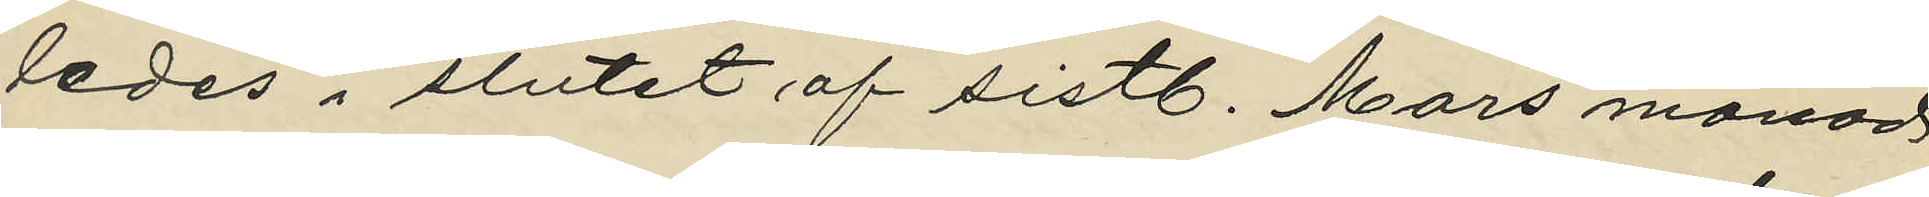ledes i slutet af sistl. Mars månad
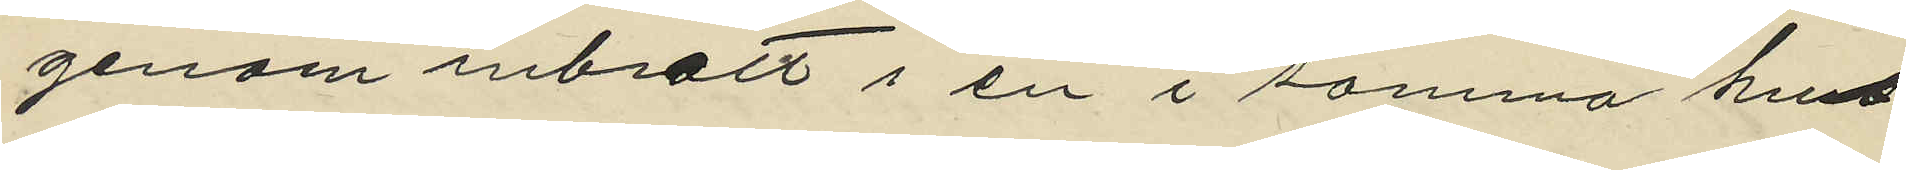genom inbrott i en i samma hus
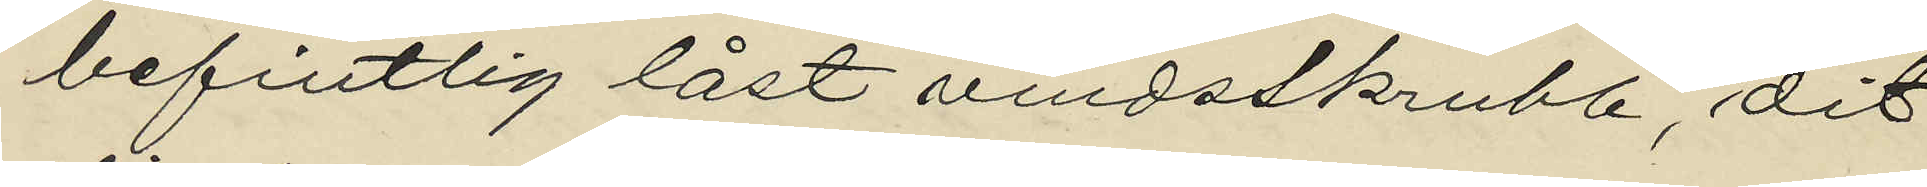befintlig låst vindsskrubb, dit
